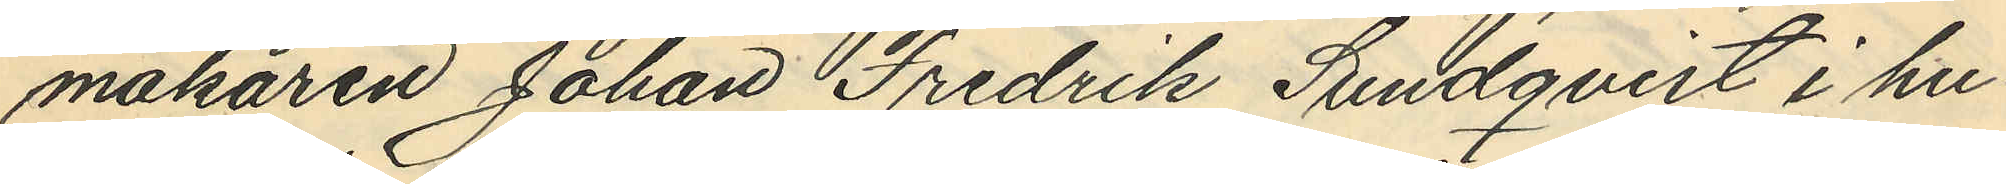makaren Johan Fredrik Sundqvist i hu¬
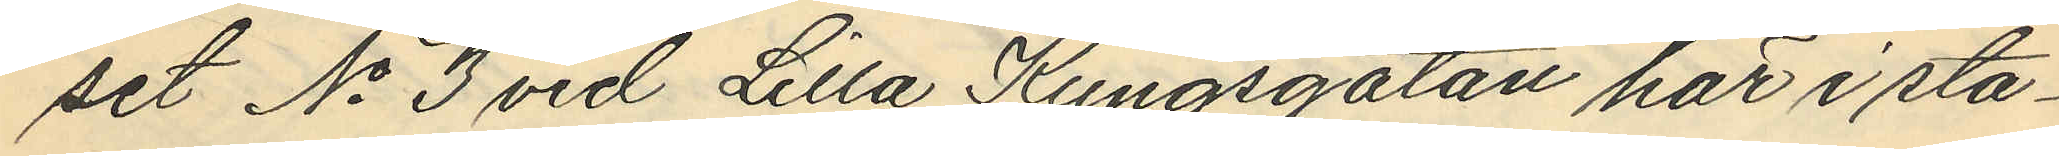set No 3 vid Lilla Kungsgatan här i sta¬
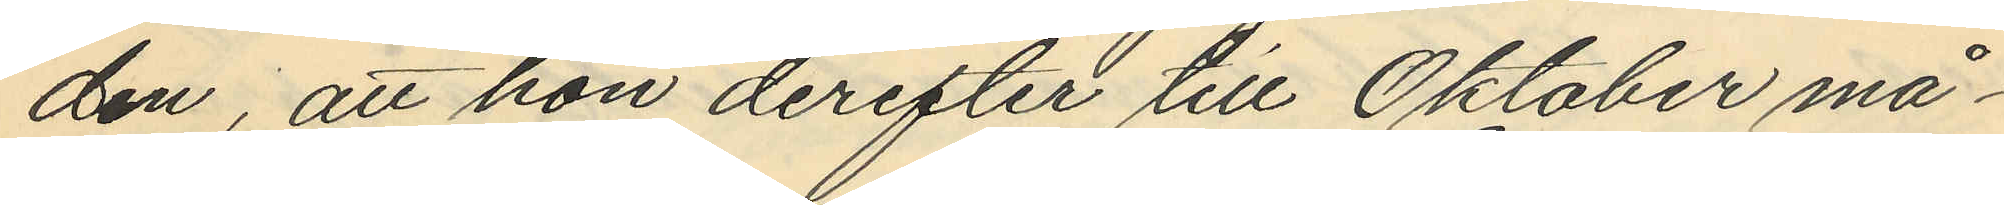den, att hon derefter till Oktober må¬
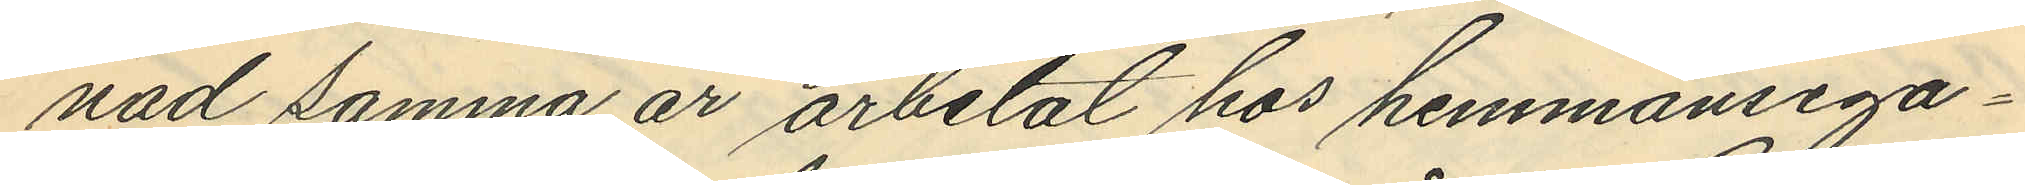nad samma år arbetat hos hemmansega¬
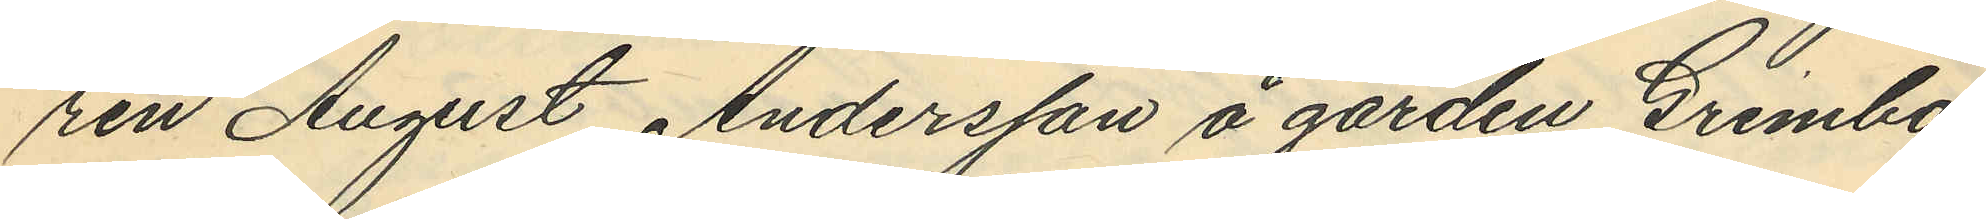ren August Andersson å gården Grimbo
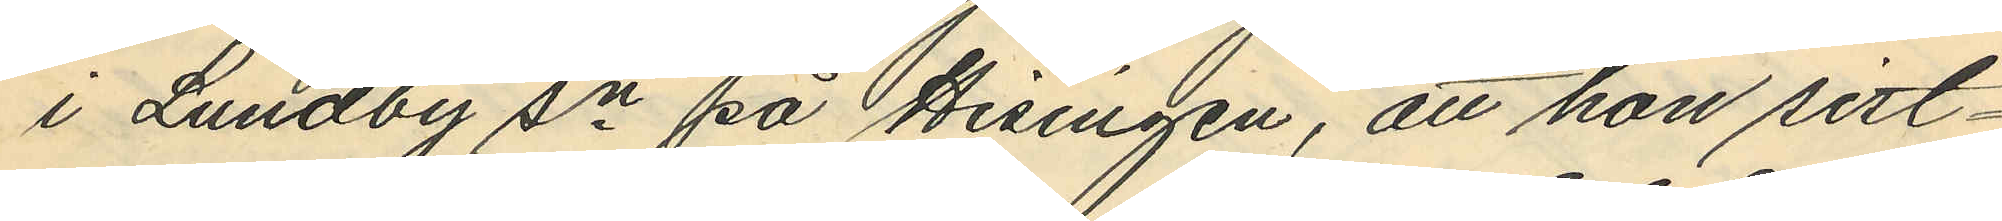i Lundby sn på Hisingen, att hon sist¬
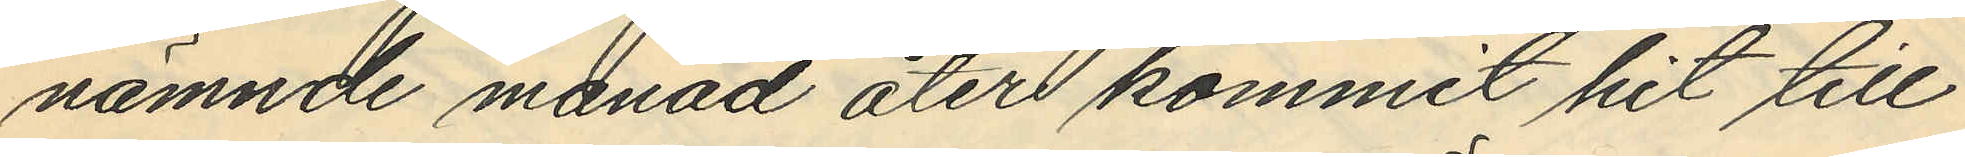nämnde månad åter kommit hit till
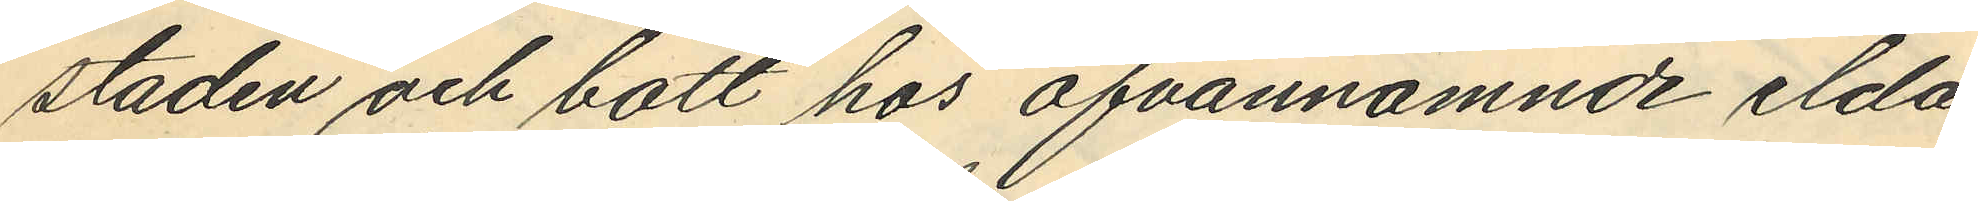staden och bott hos ofvannämnde elda¬
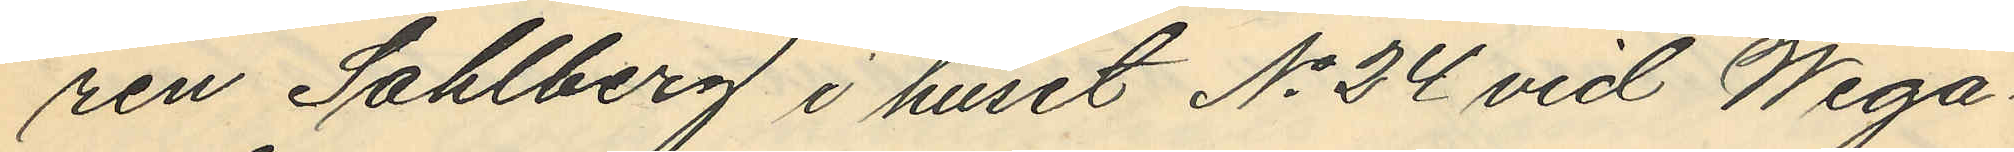ren Sahlberg i huset No 24 vid Wega¬
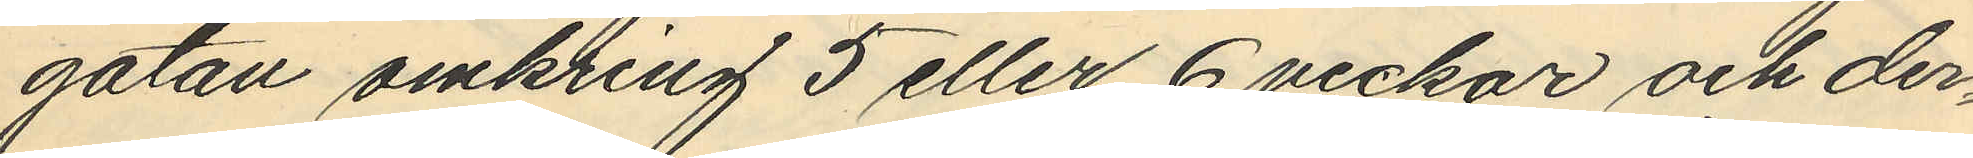gatan omkring 5 eller 6 veckor och der¬
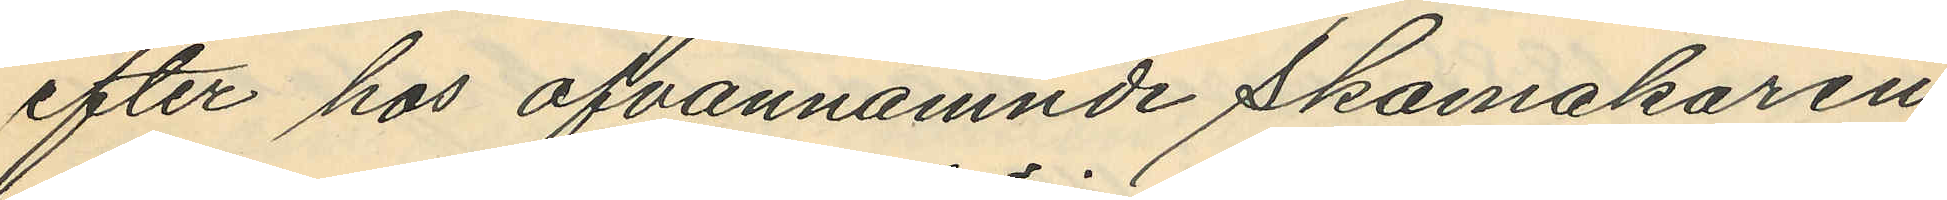efter hos ofvannämnde Skomakaren
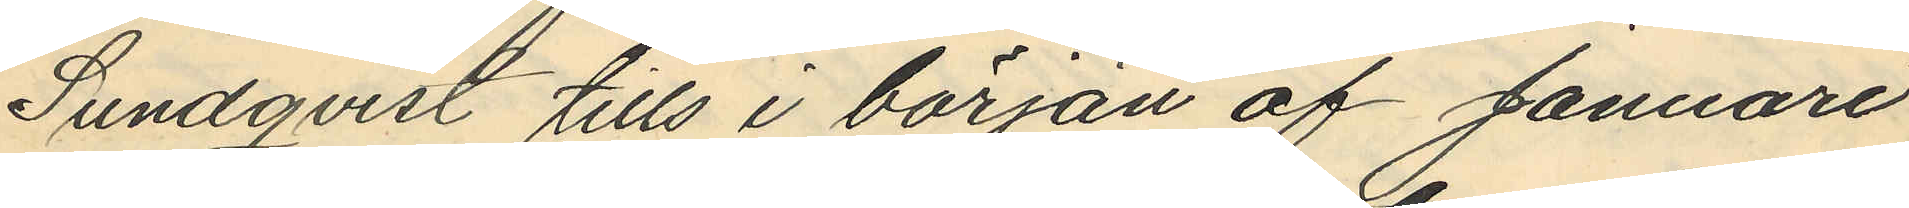Sundqvist tills i början af Januari
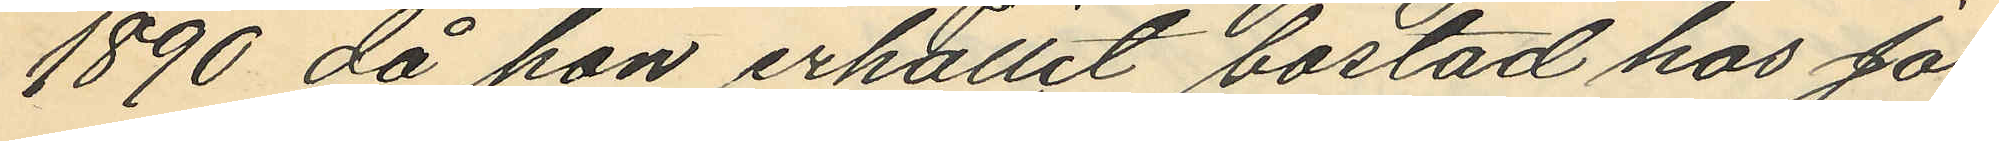1890 då hon erhållit bostad hos Jo¬
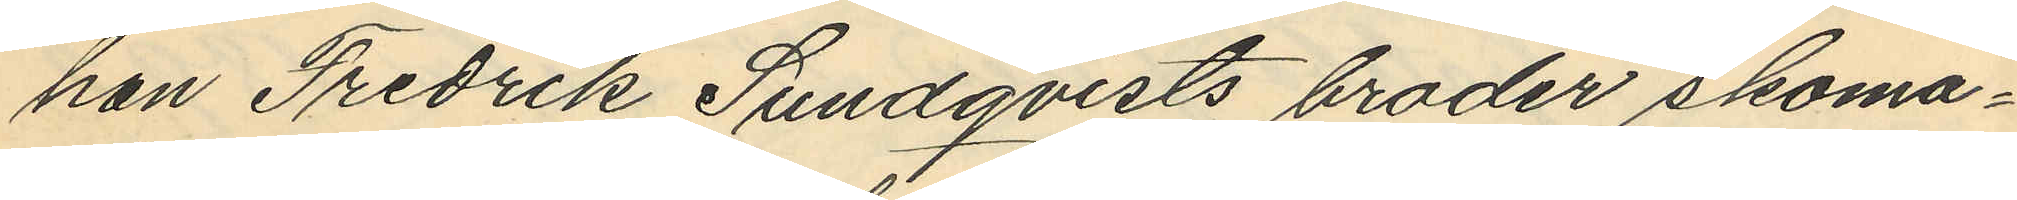han Fredrik Sundqvists broder skoma¬
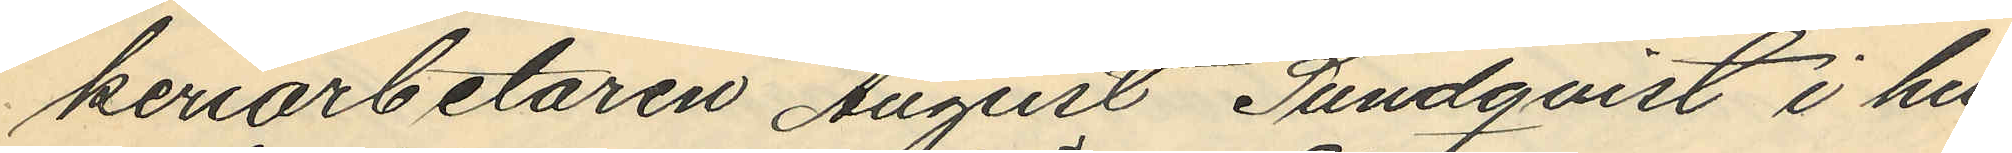keriarbetaren August Sundqvist i hu¬
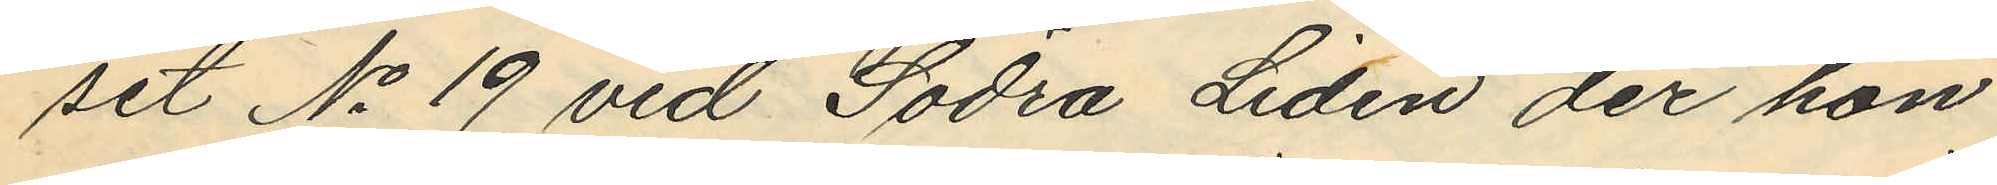set No 19 vid Södra Liden der hon
